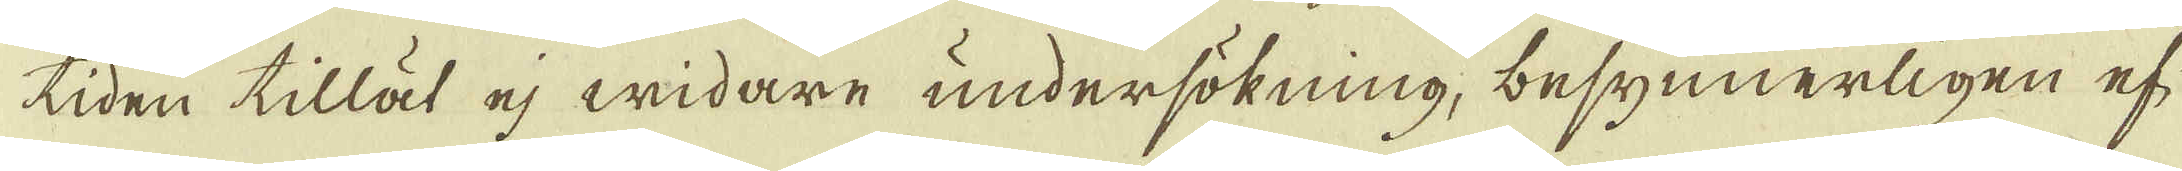tiden tillät ej widare undersökning, besynnerligen ef-
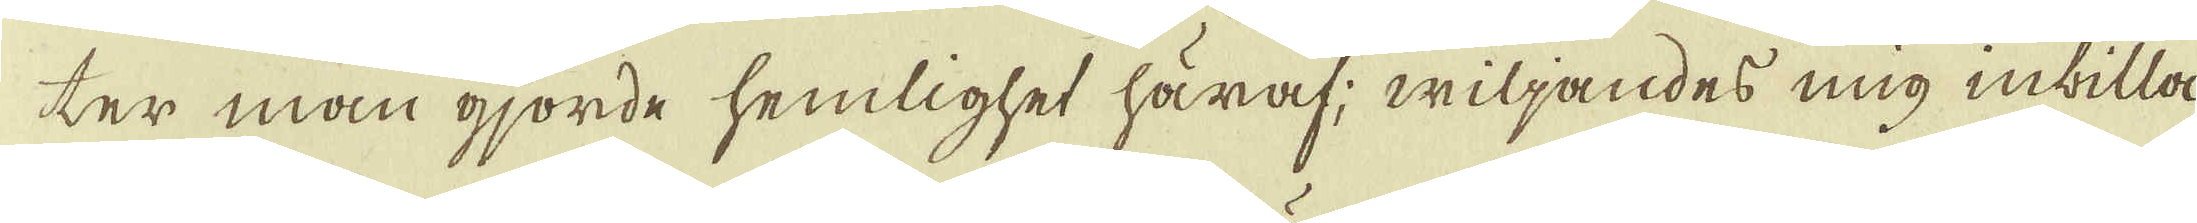ter man gjorde hemlighet häraf; wiljandes mig inbilla
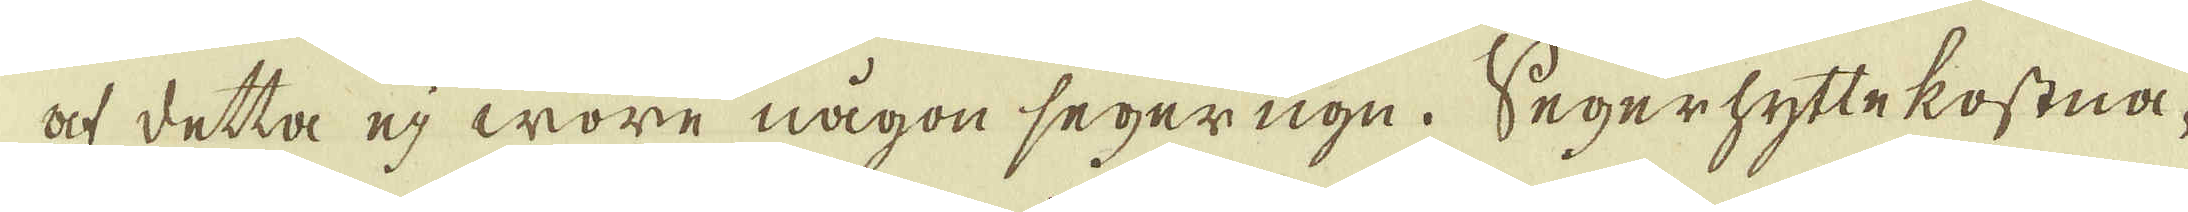at detta ej wore någon segerugn. Segerhyttekostna-
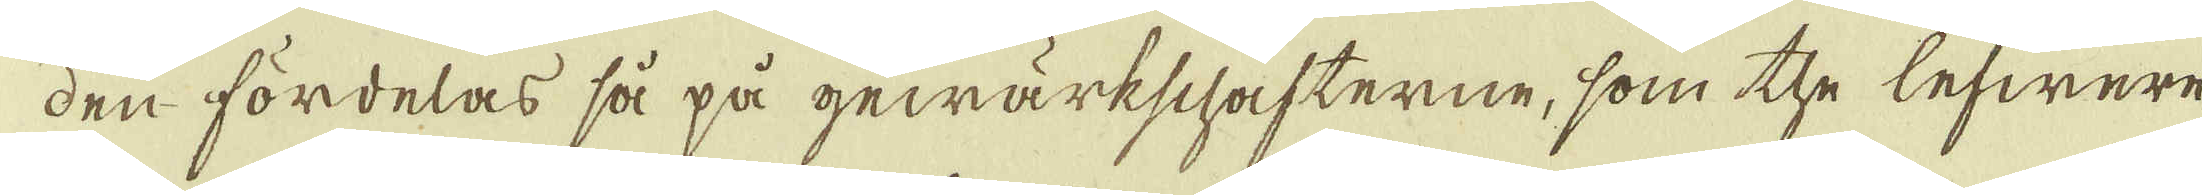den fördelas så på gewärkschafterne, som the lefwere-
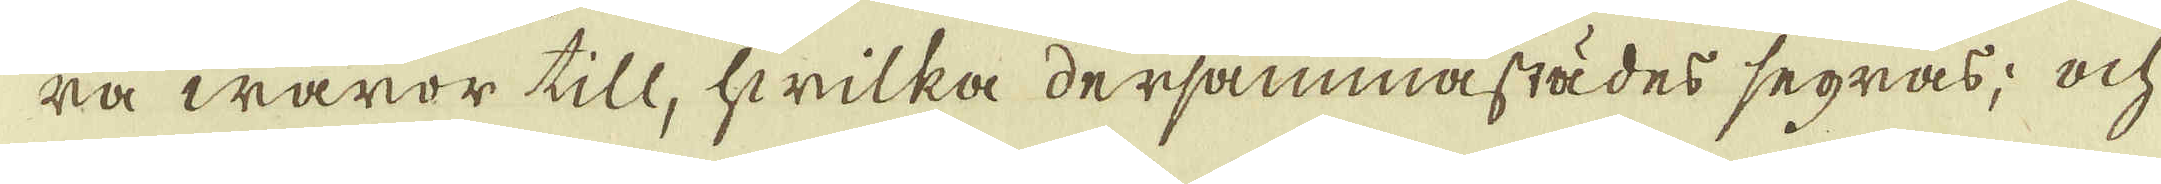ra waror till, hwilka dersammastädes segras; ock
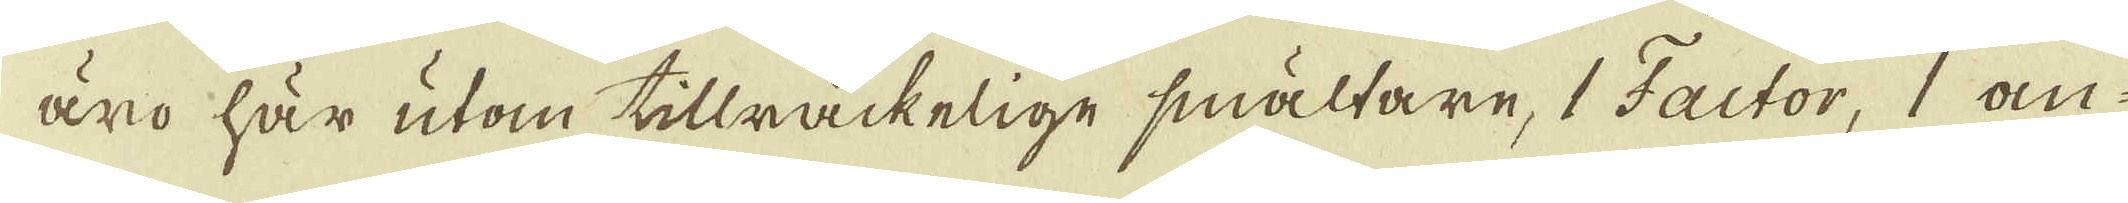äro här utom tillräckelige smältare, 1 Factor, 1 an-
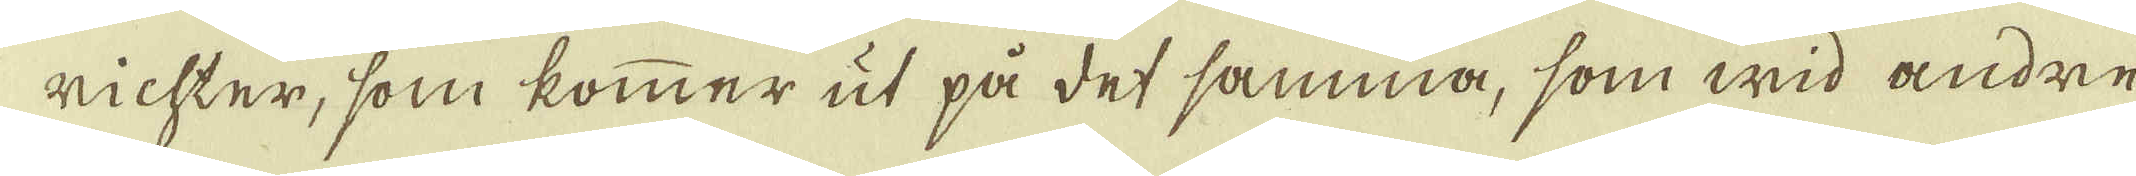richter, som kommer ut på det samma, som wid andre
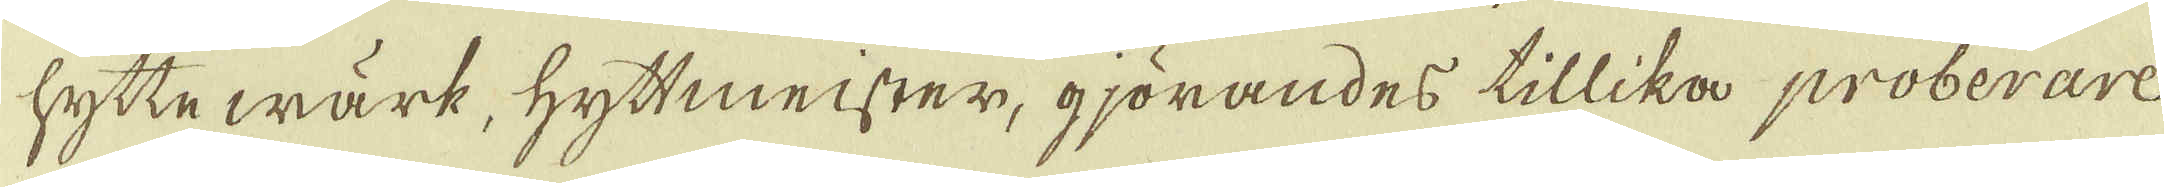hyttewärk, hyttmeister, gjörandes tillika proberare
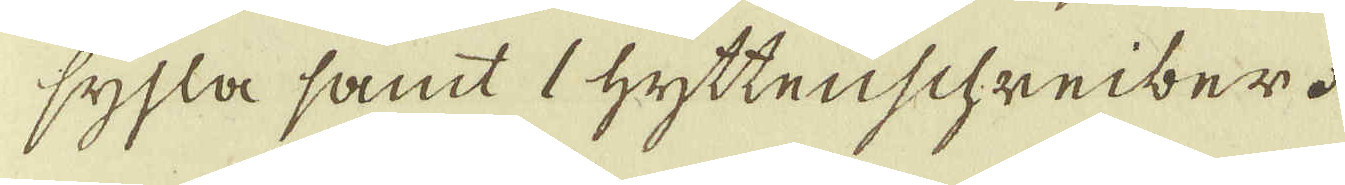sysla samt 1 hyttenschreiber.
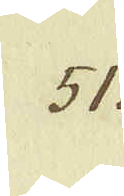51.
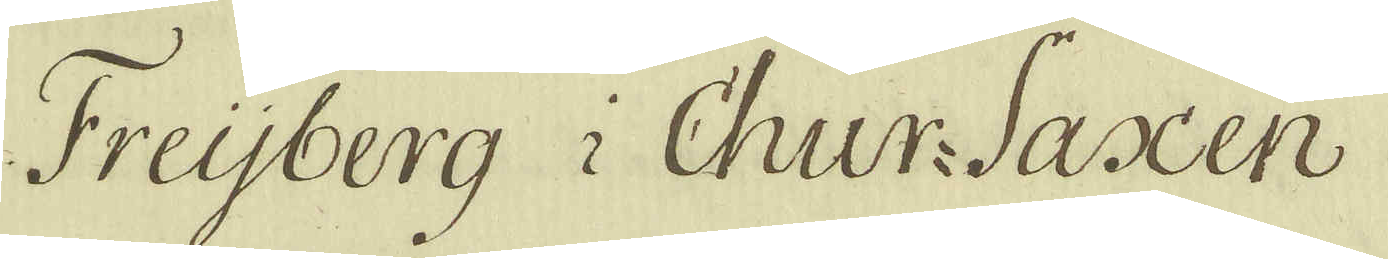Freijberg i Chur-Saxen
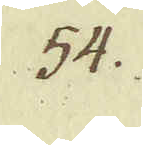54.
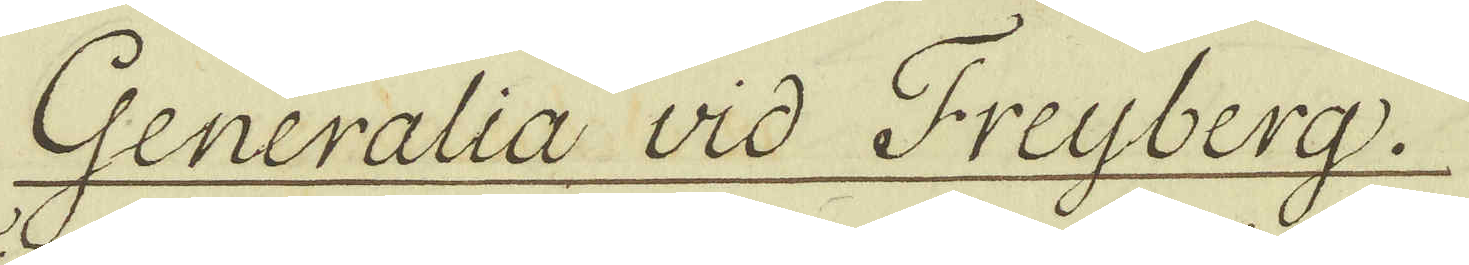Generalia vid Freyberg
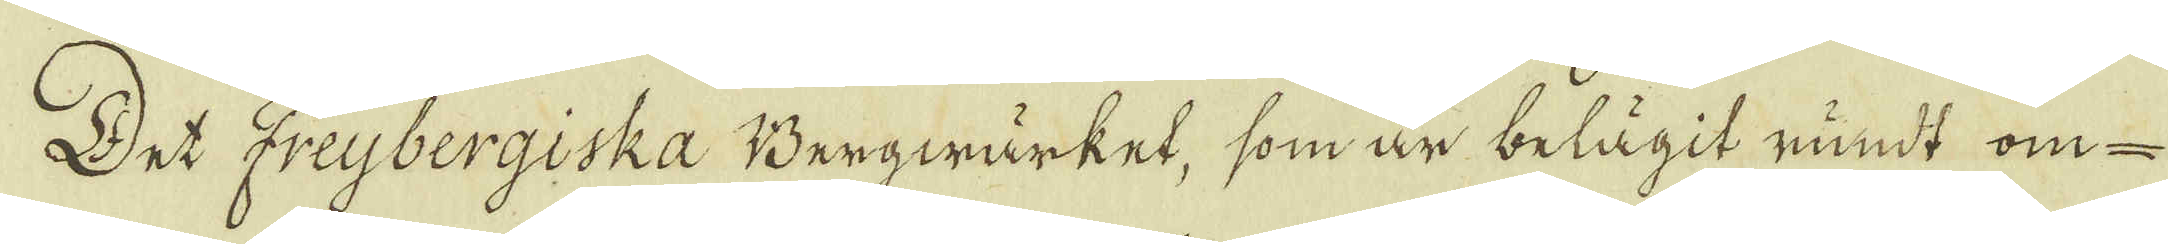Det Freybergiska Bergwärket, som är belägit rundt om-
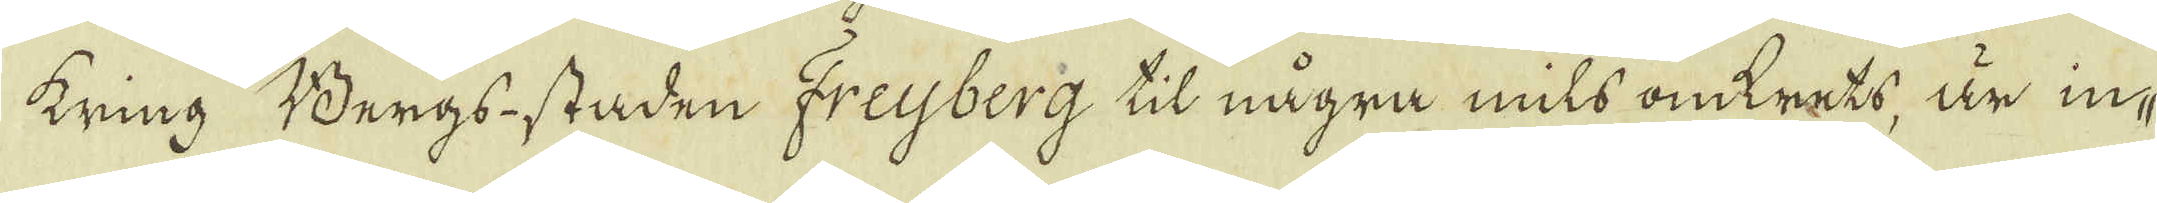kring Bergs staden Freyberg til några mils omkrets, är in-
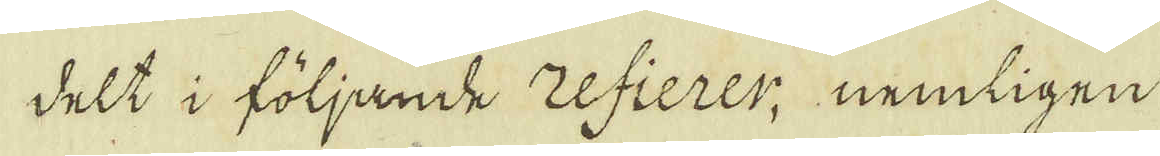delt i följande zefierer, nemligen
